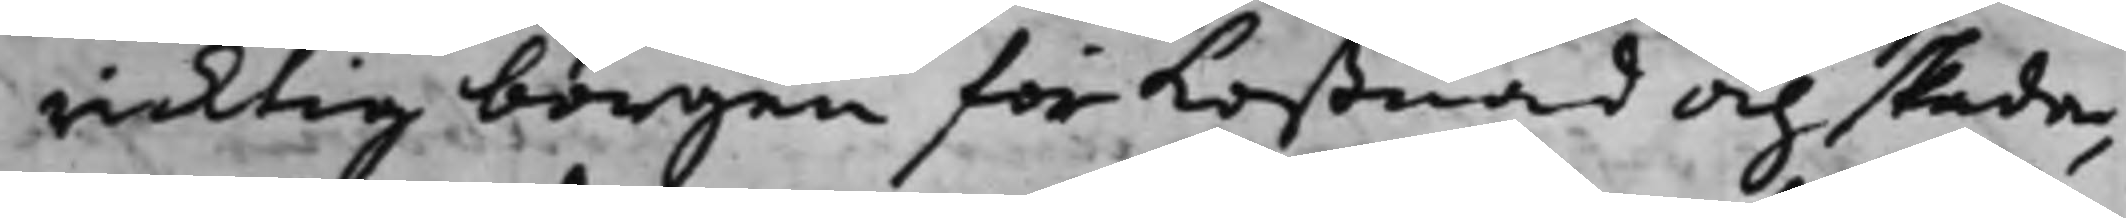riktig borgen för Kostnad och skada,
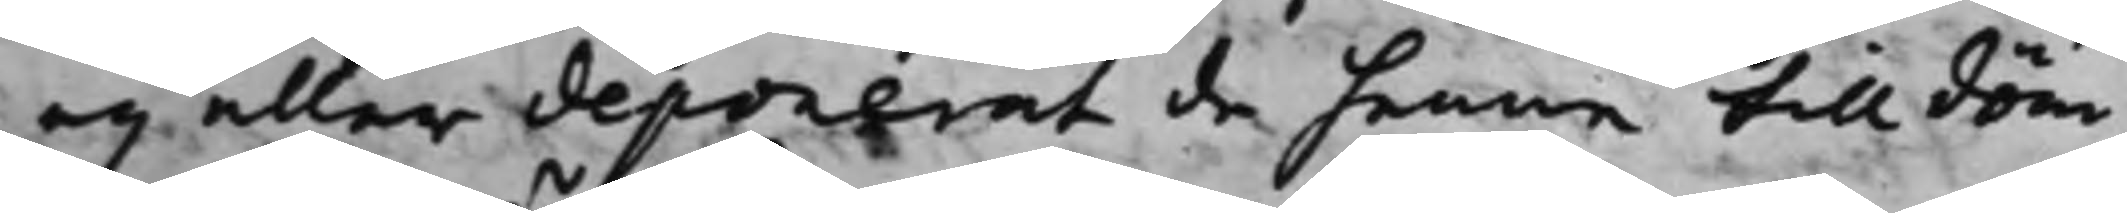eij eller deponerat de henne tilldöm¬
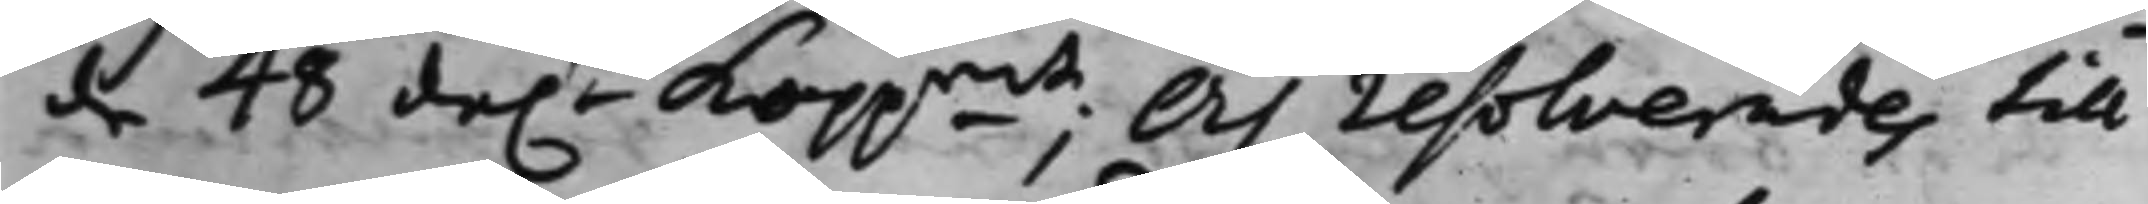de 48 da.r Koppmt; Och resolverades till
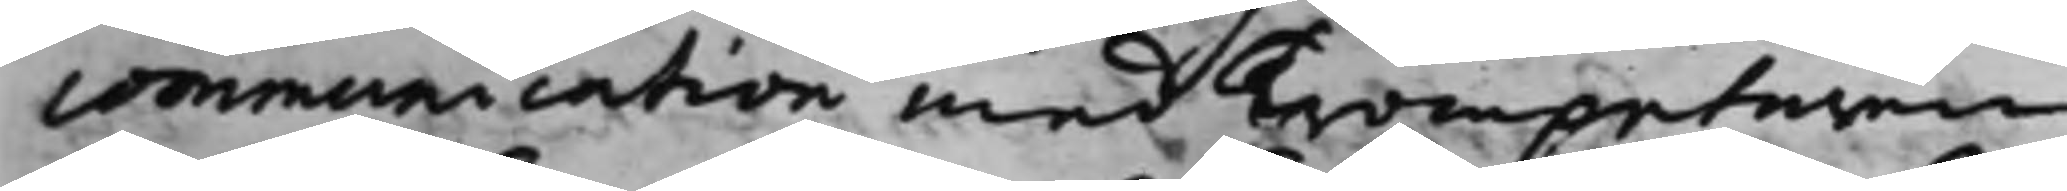communication med Trompetaren
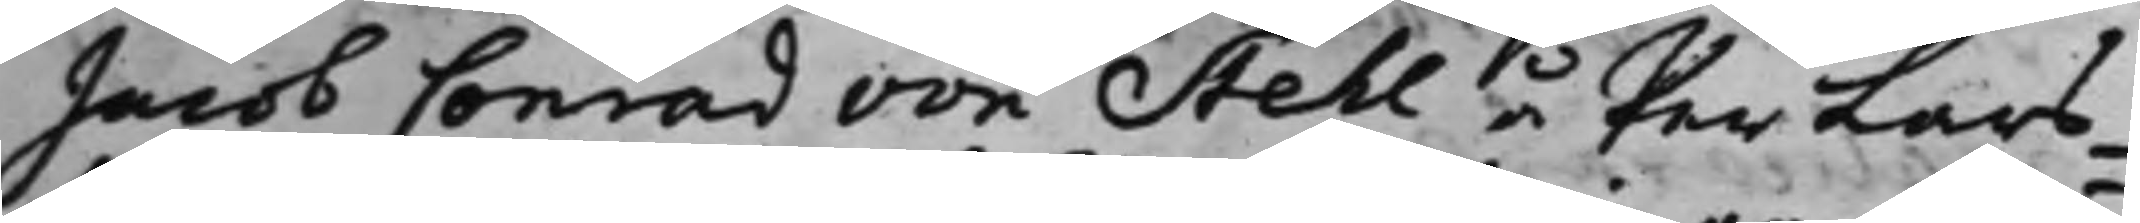Jacob Conrad von Stehl å Per Lars¬
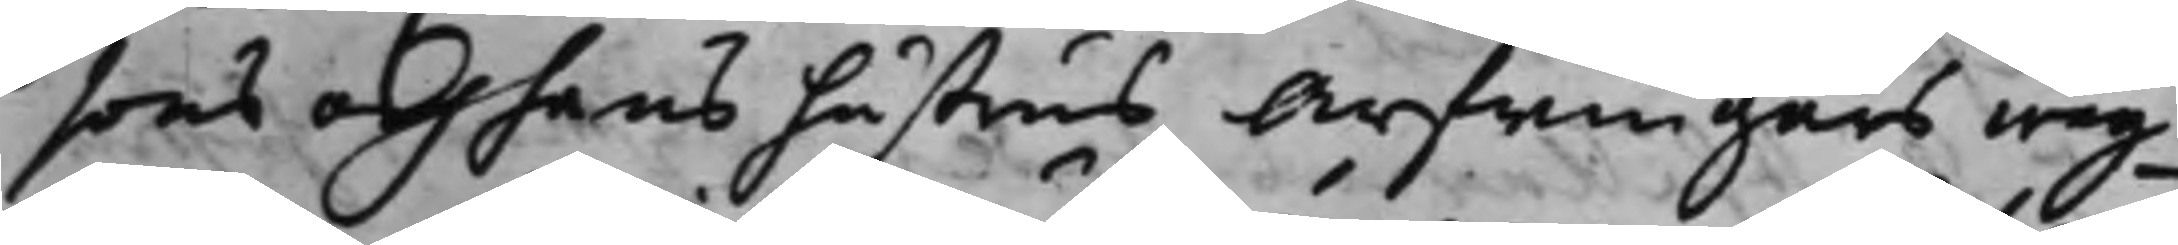sons och hans hustrus Arfwingars wäg¬
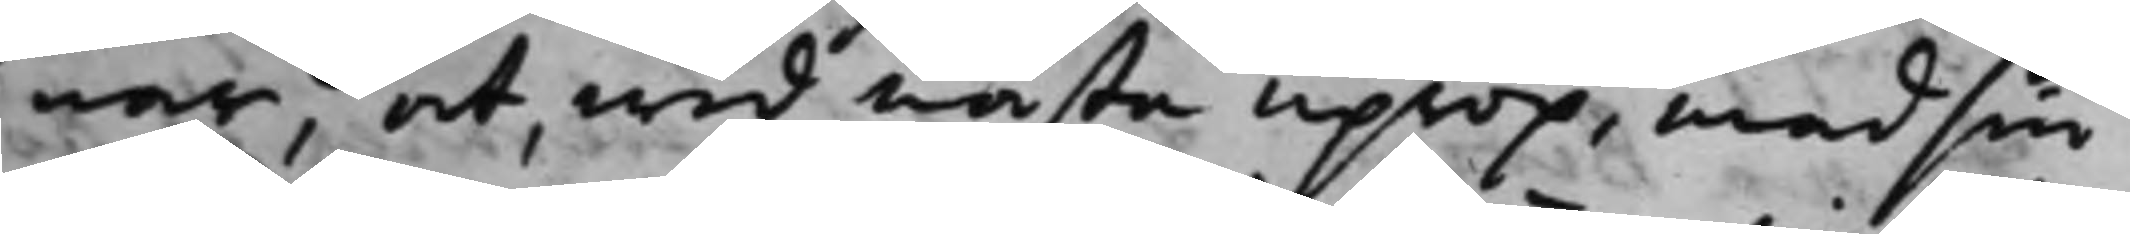nar, at, wid nästa uprop, med sin
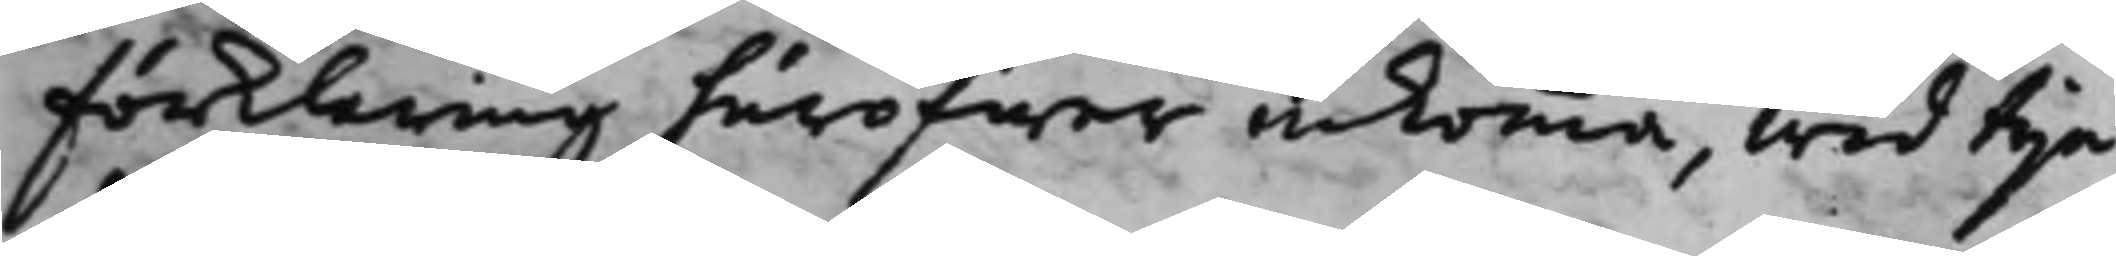Förklaring häröfwer inkomma, wid tije
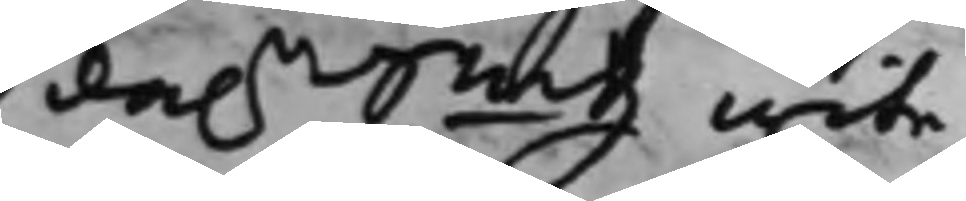da.r Smtz wite.
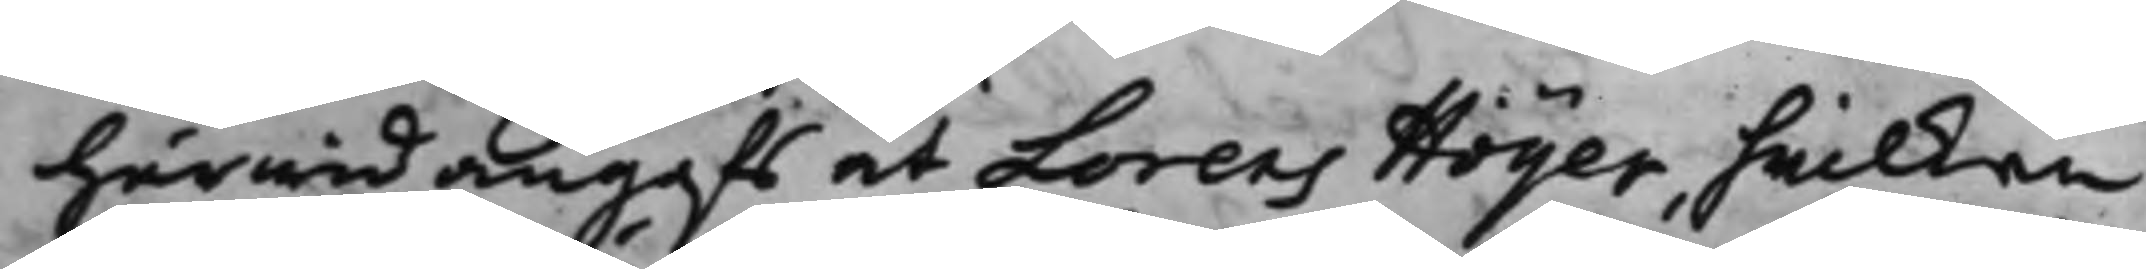Härwid angafs at Lorens Höyer, hwilken
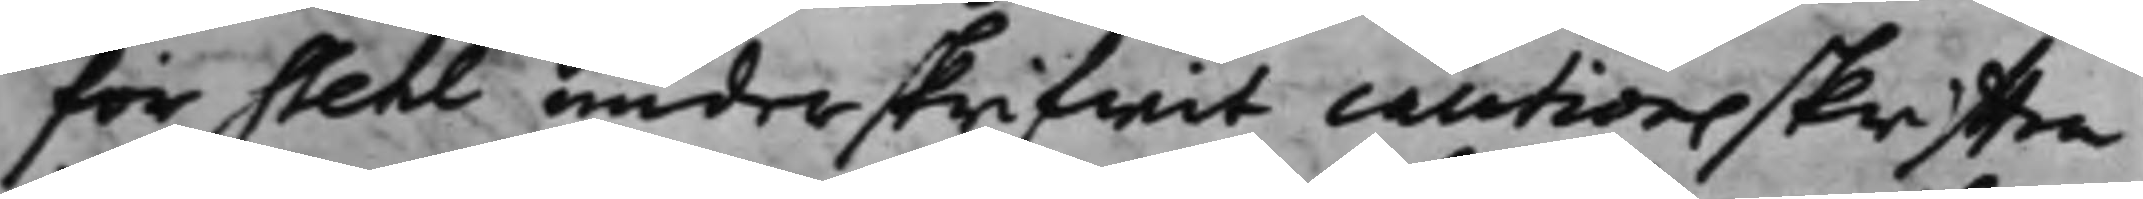för Stehl underskrifwit cautionsskrifften
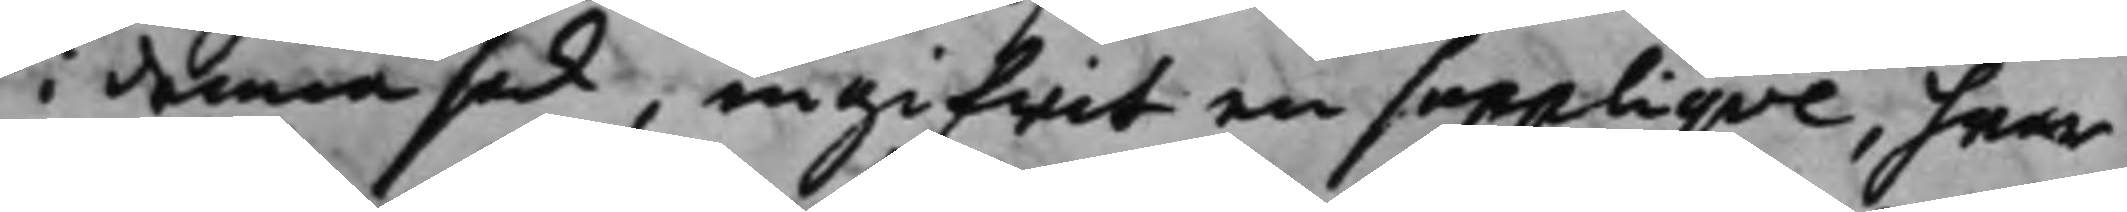i denna sak, ingifwit en suppliqve, hwar¬
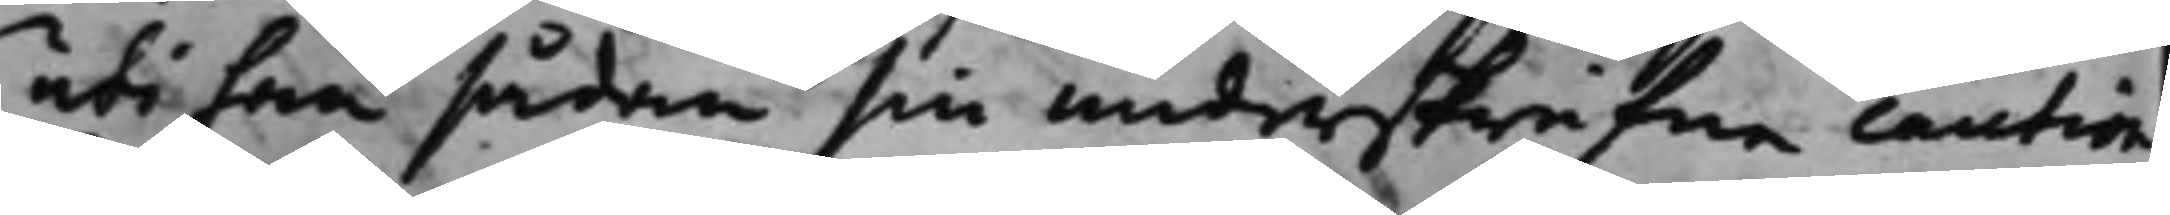uti han sådan sin underskrifne caution
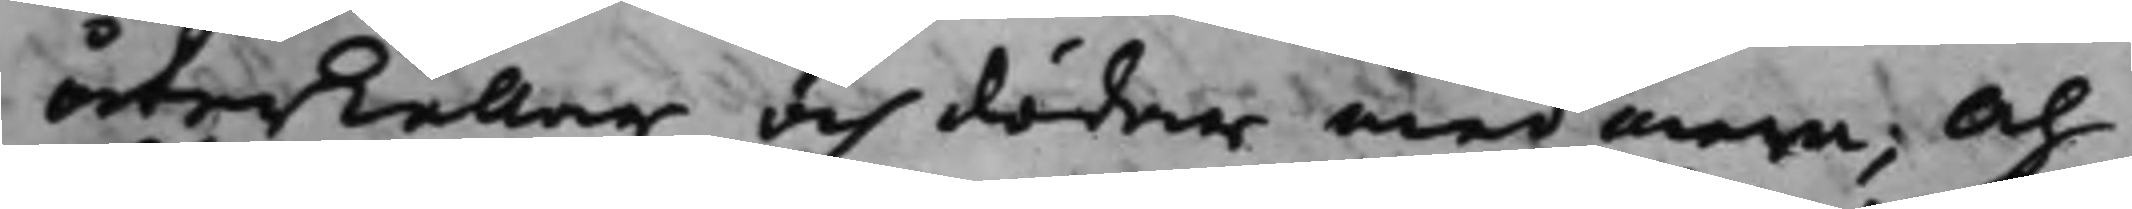återkallar och dödar med mera; Och
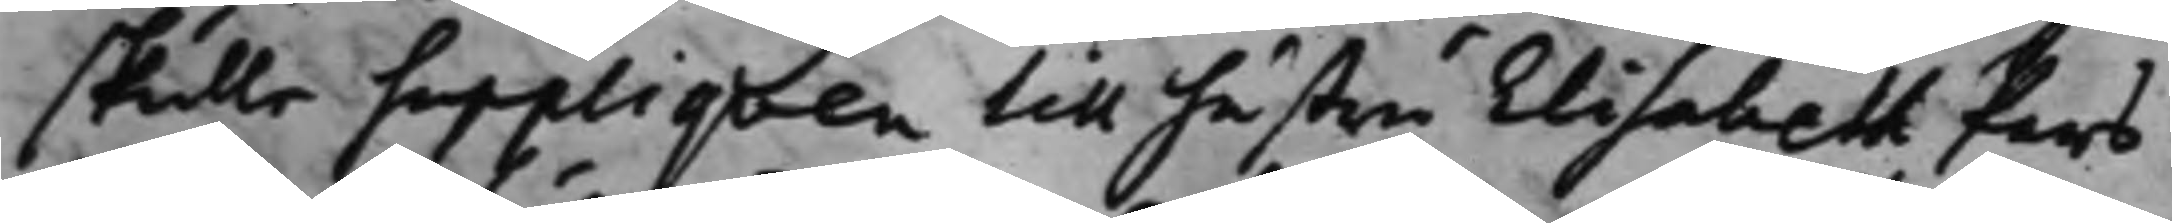skulle suppliqven till hustru Elisabeth Pers¬
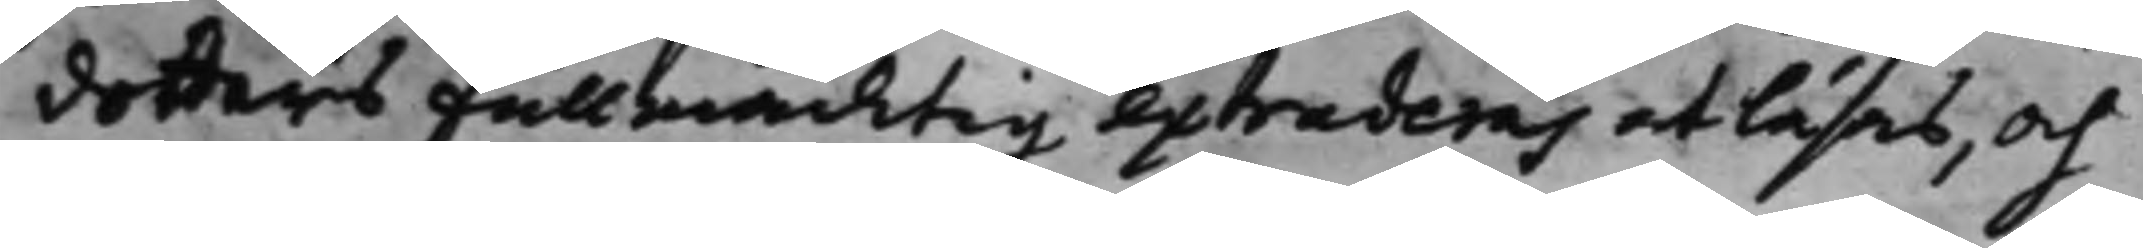dotters Fullmäcktig extraderas at läsas, och
